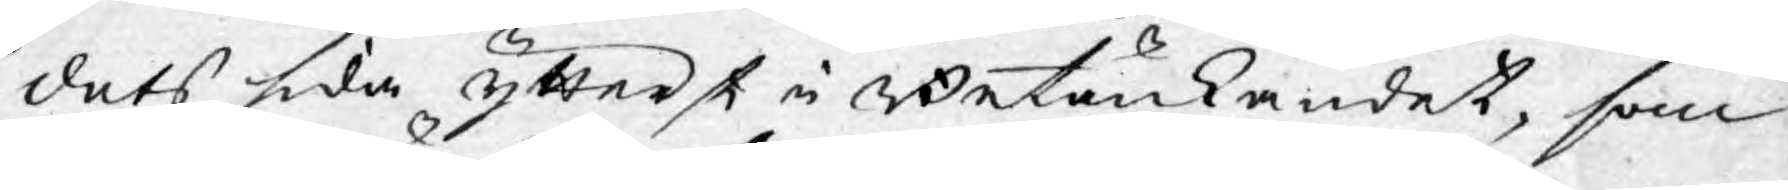dets sida ytterst i Betänkandet, som
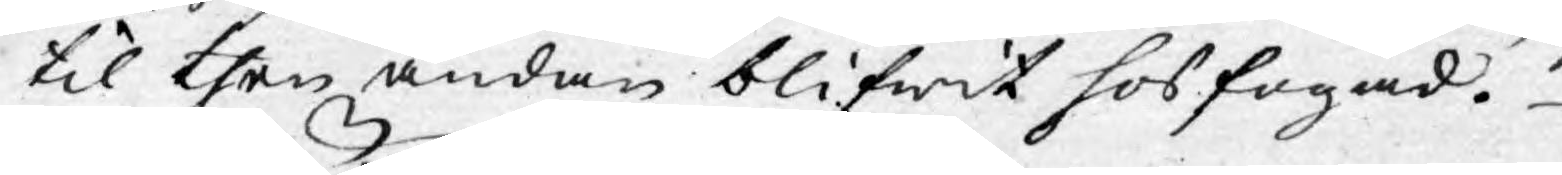til then ändan blifwit hos fogad.
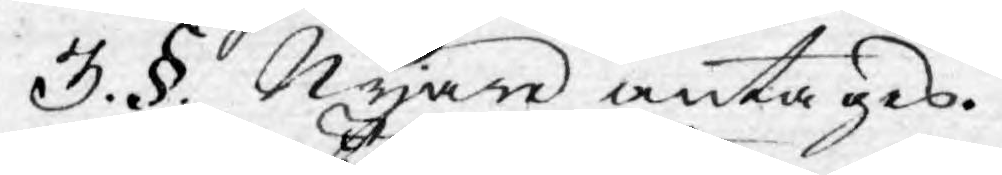3. §. Nyare antages.
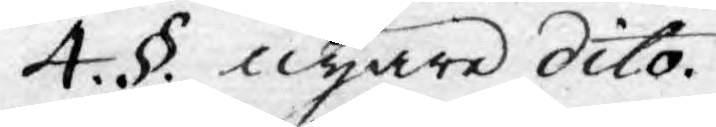4. §. nyare dito.
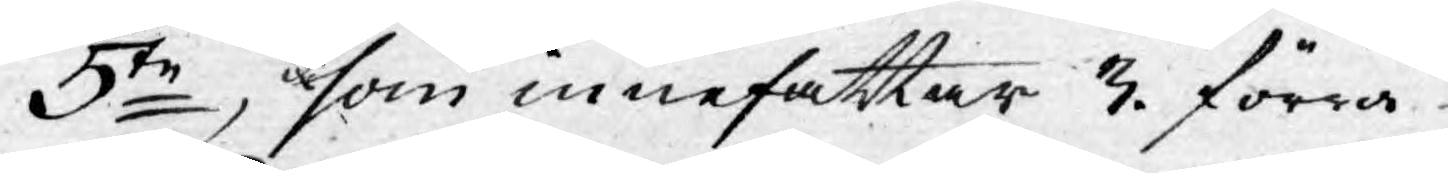5te, som innefattar 3. förra.
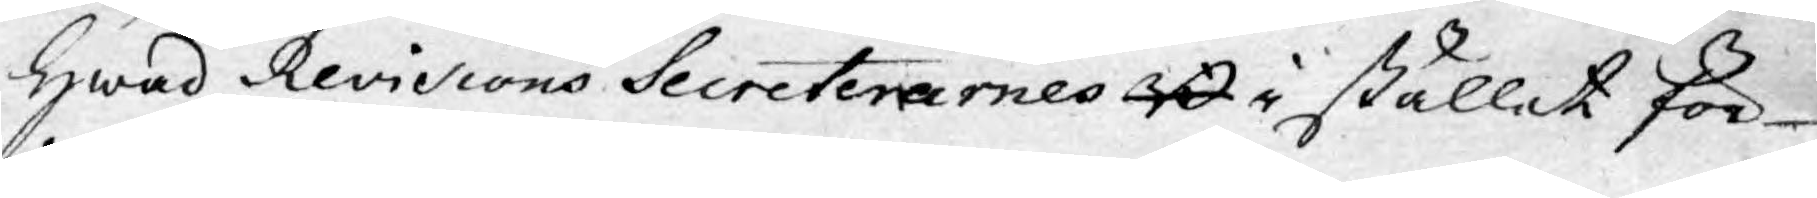Hwad Revisions Secreterarnes B i stället för¬
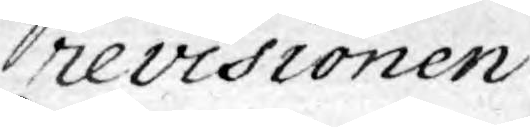revisionen
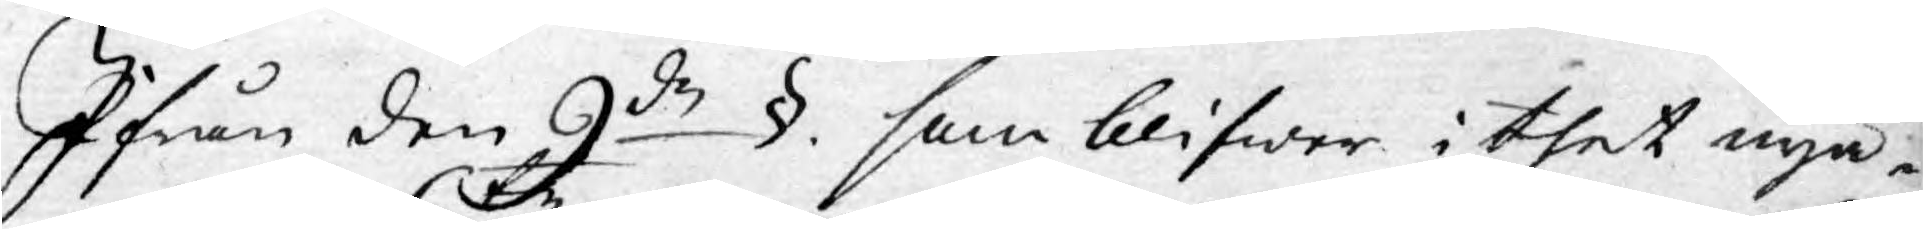Ifrån den 9de §. som blifwer i thet nya
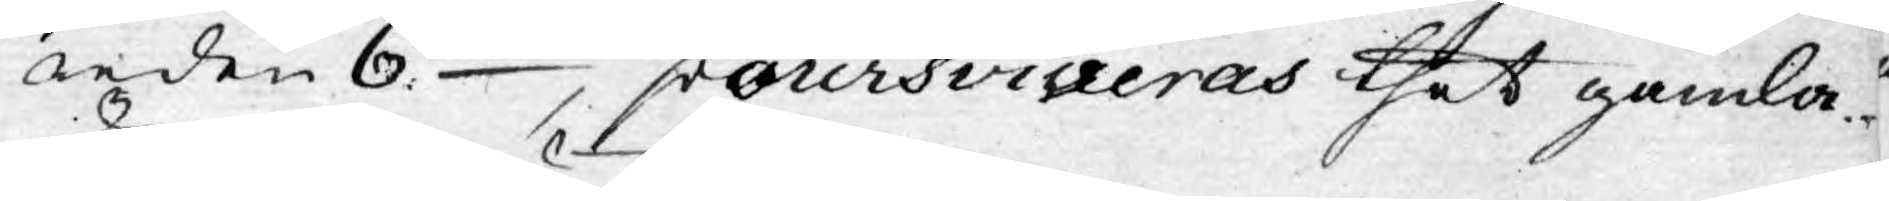reden 6te, poursviveras thet gamla
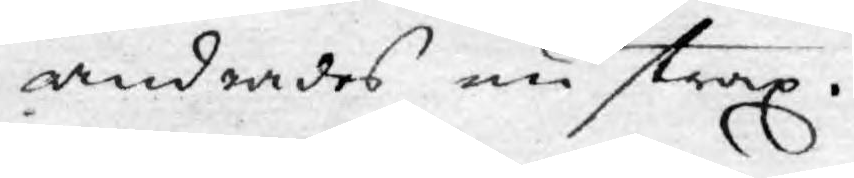ändrades nu strax.
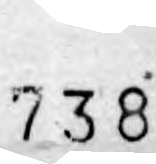738
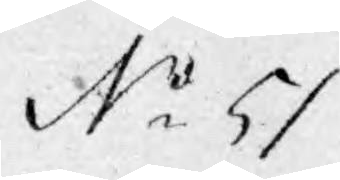No 51.
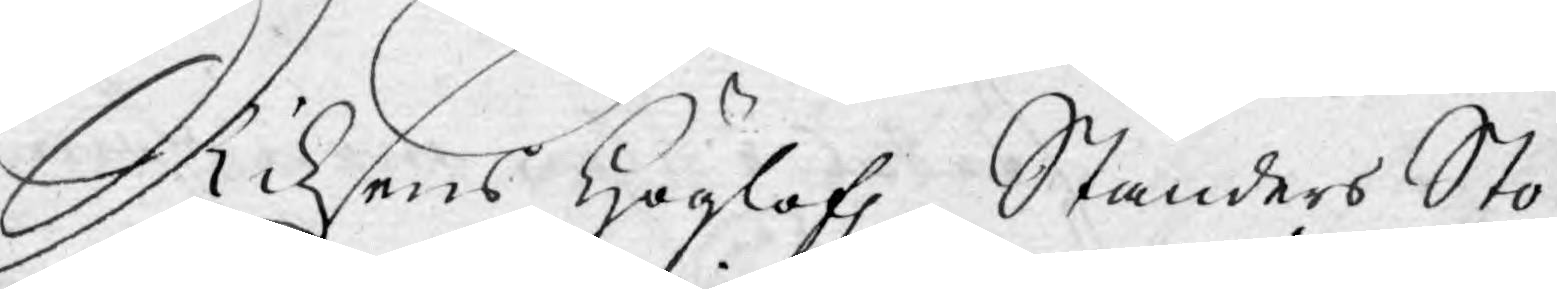Riksens Höglofl. Ständers Sto-
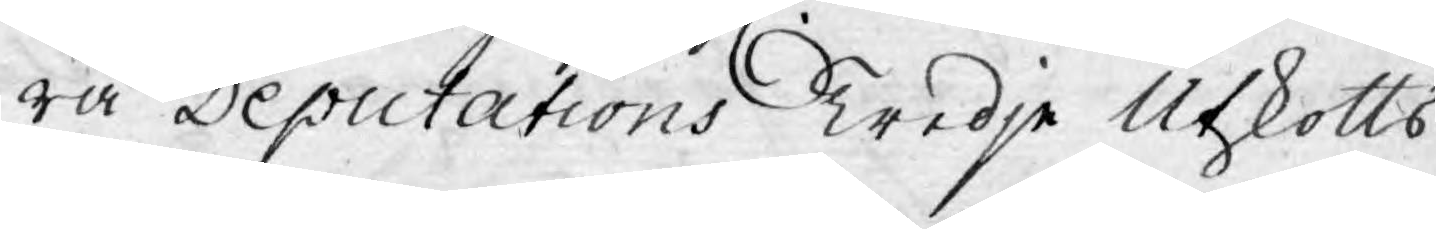ra Deputations Tredje Utskotts
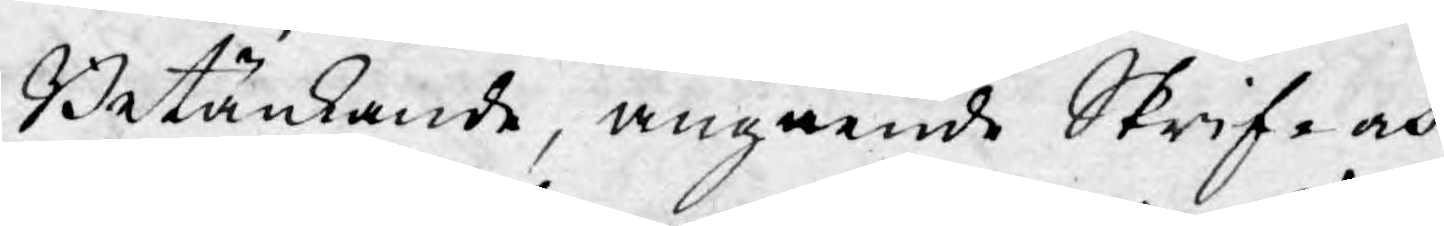Betänkande, angående Skrif- och
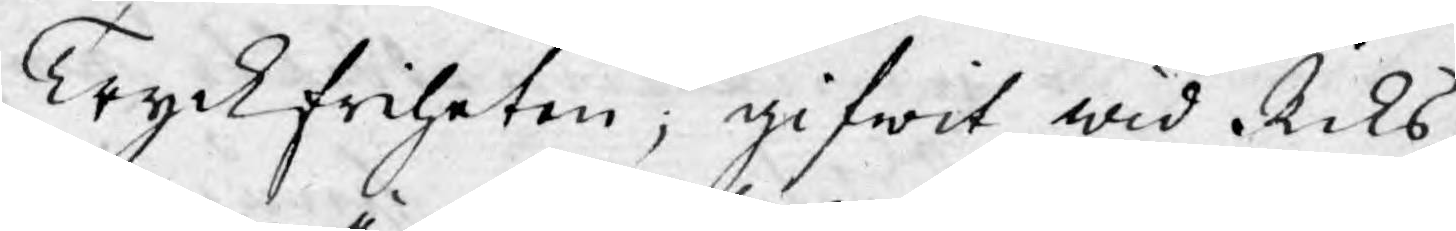Tryckfriheten; gifwit wid Riks¬
